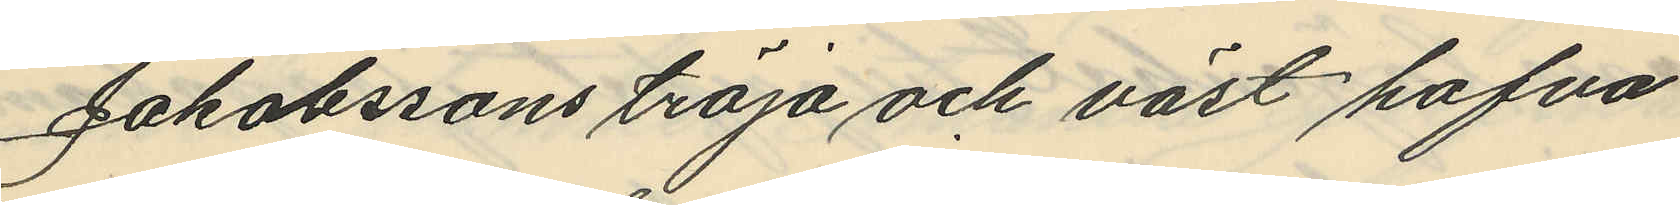Jakobssons tröja och väst hafva
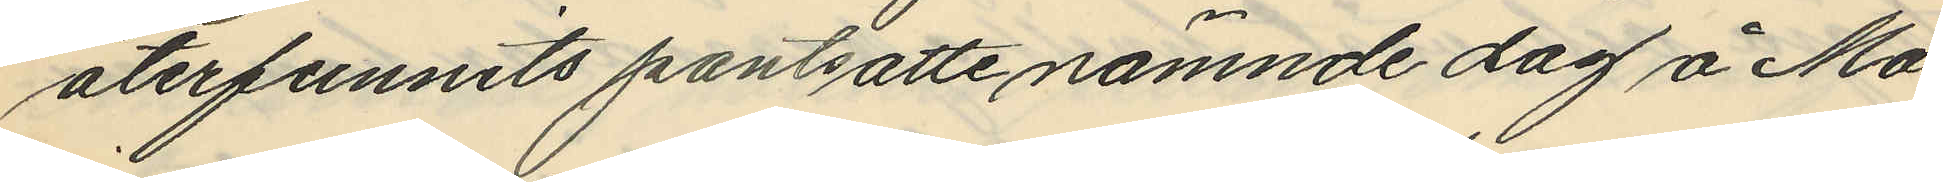återfunnits pantsatte nämnde dag å Ma¬
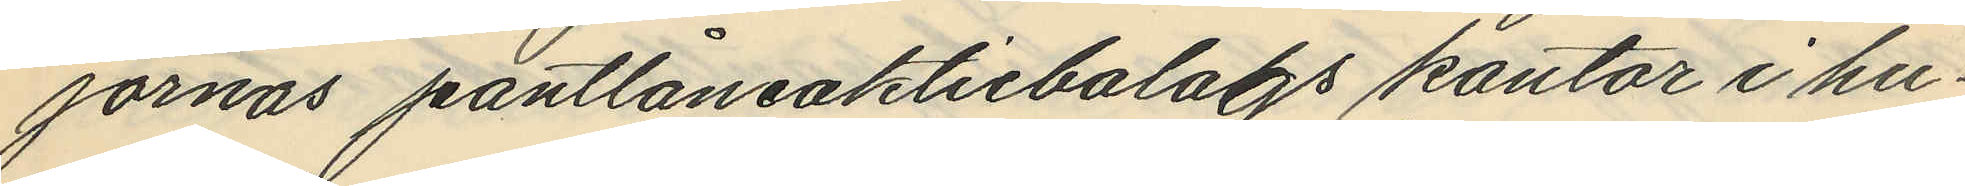jornas pantlåneaktiebolags kontor i hu¬
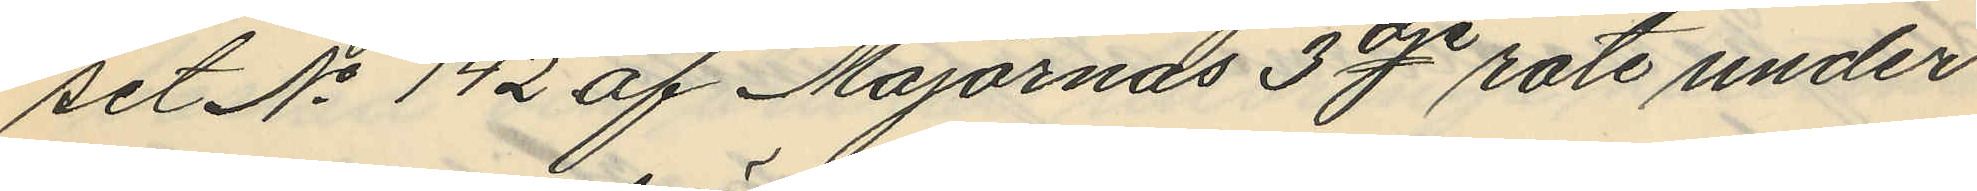set No 142 af Majornas 3de rote under
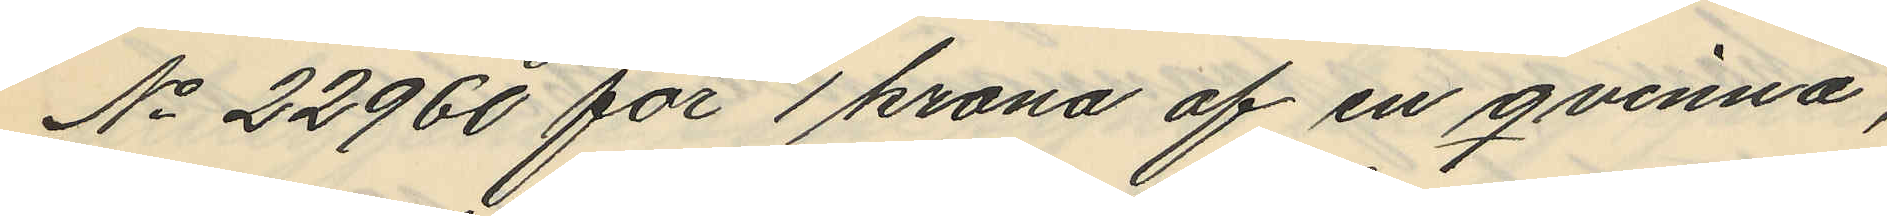No 22960 för 1 krona af en qvinna,
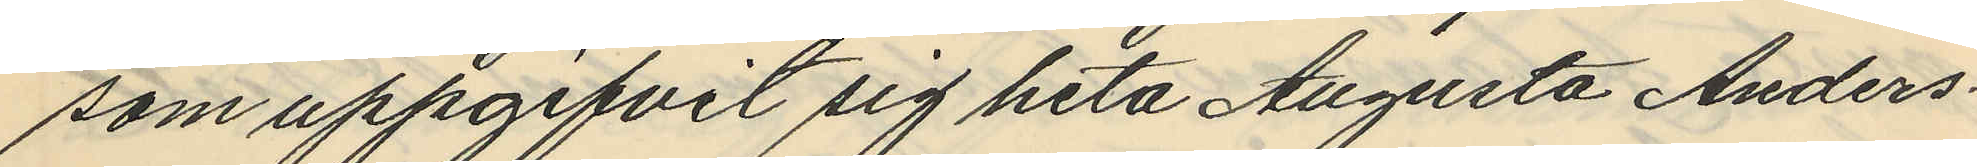som uppgifvit sig heta Augusta Anders¬
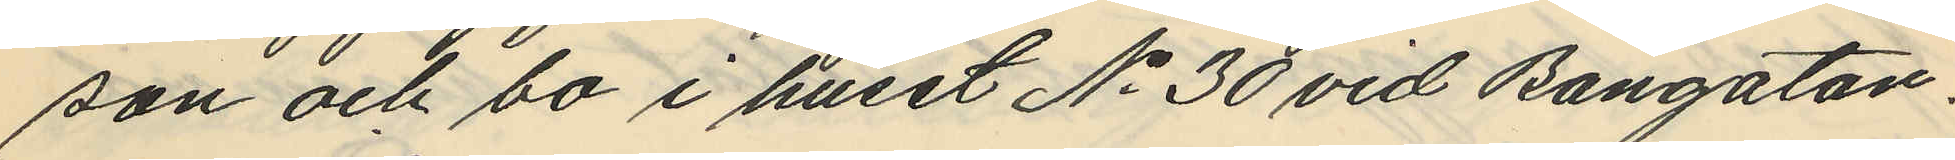son och bo i huset No 30 vid Bangatan.
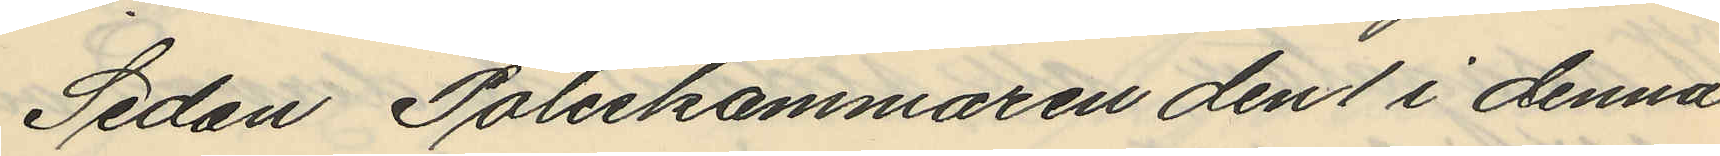Sedan Poliskammaren den 1 i denna
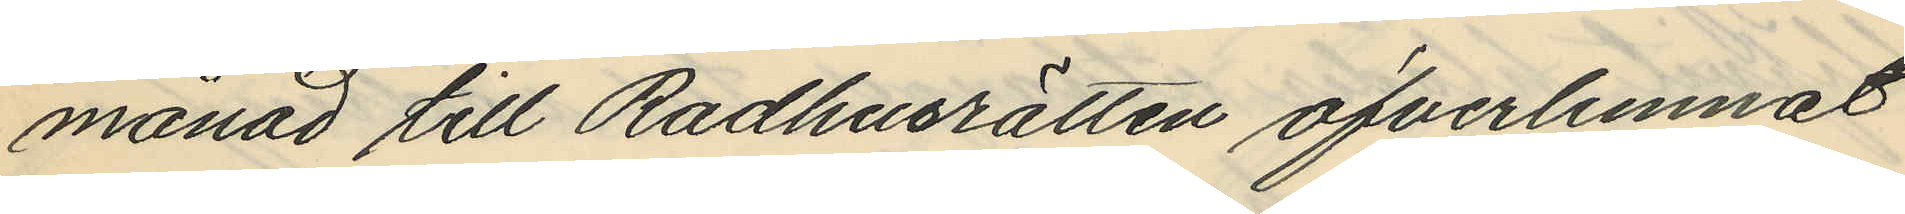månad till Rådhusrätten öfverlemnat
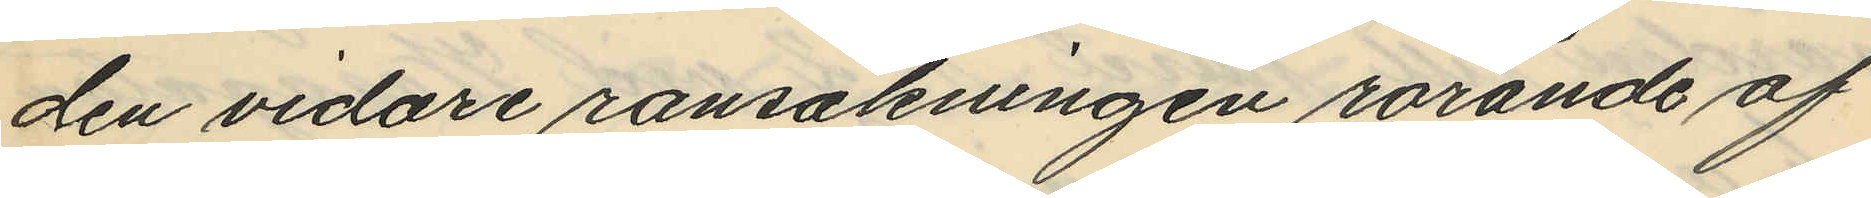den vidare ransakningen rörande af
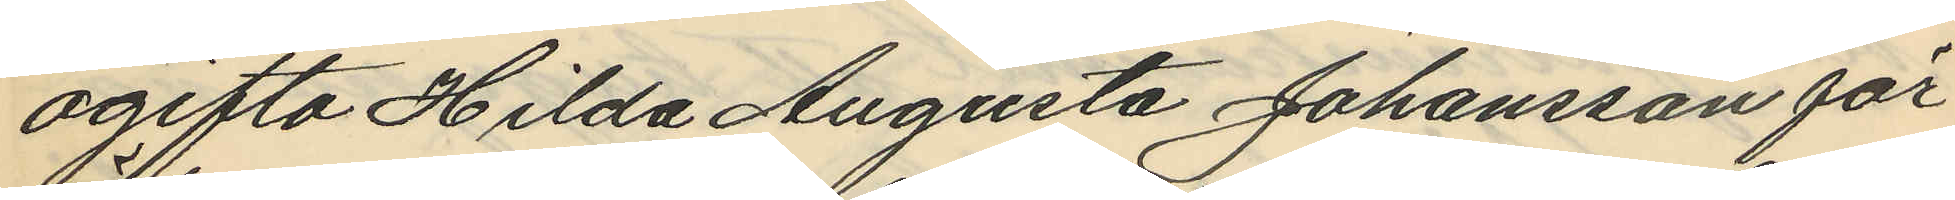ogifta Hilda Augusta Johansson för
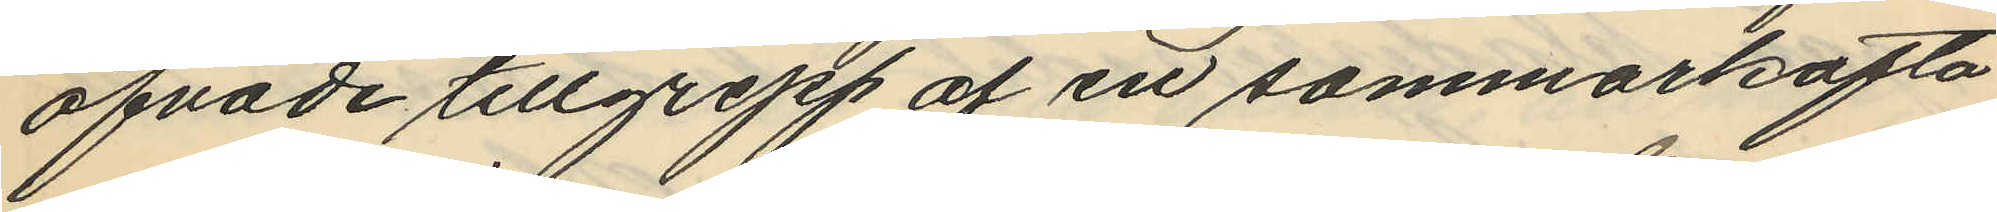öfvade tillgrepp af en sommarkofta
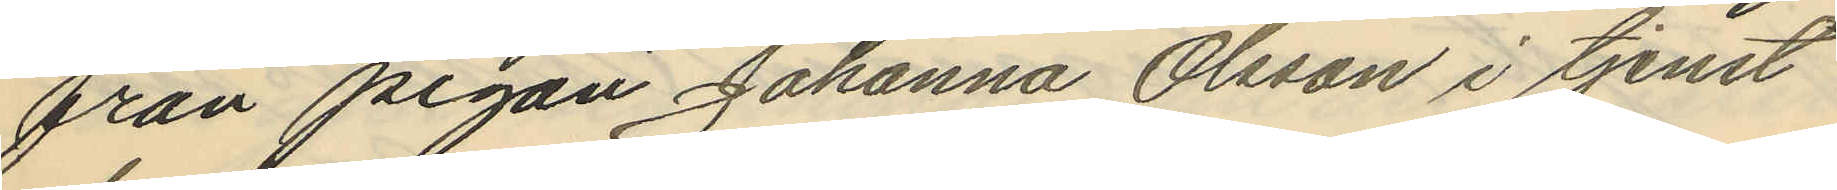från pigan Johanna Olsson i tjenst
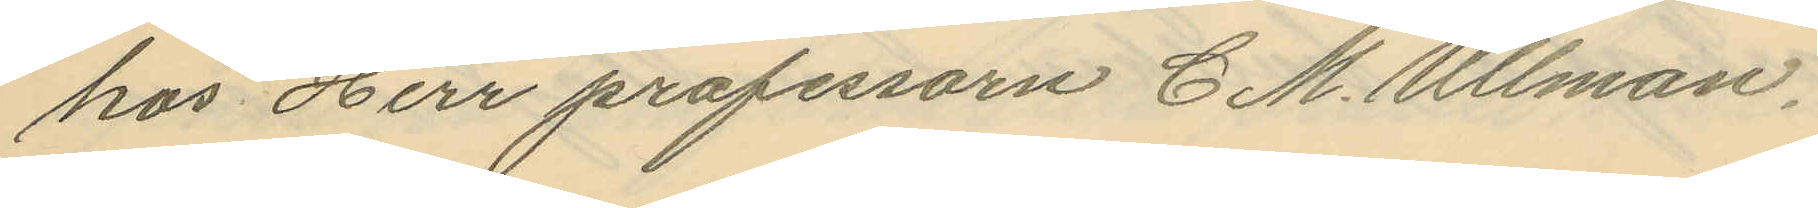hos Herr professorn C. M. Ullman,
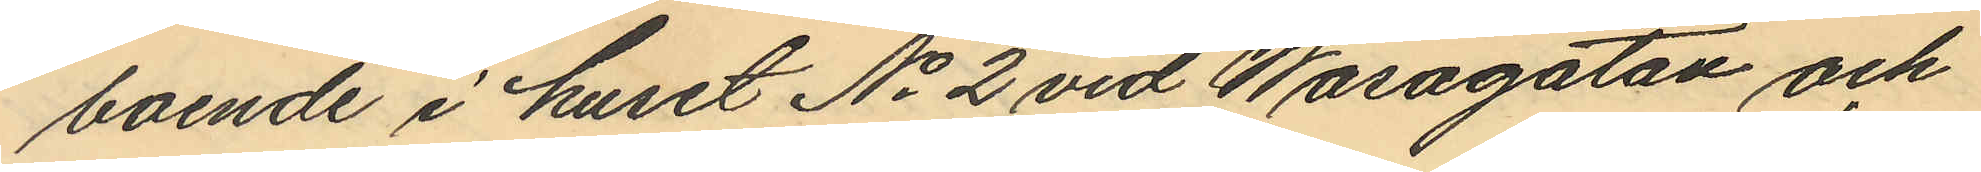boende i huset No 2 vid Wasagatan och
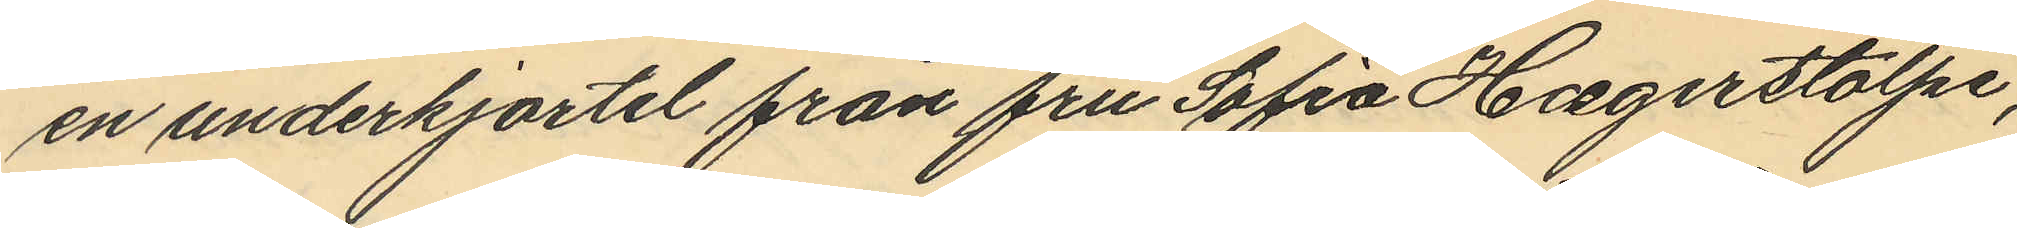en underkjortel från fru Sofia Haegerstolpe,
